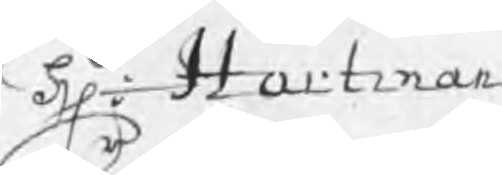Hr: Hartman
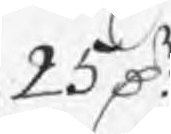25 Dr
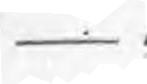_
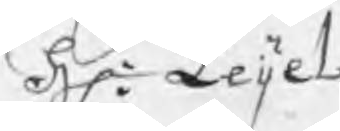Hr: Leijel
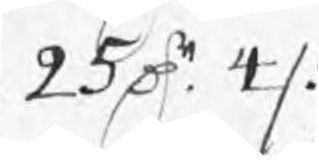25 Dr 4 /:
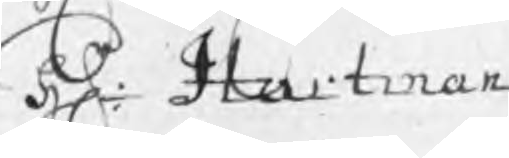Hr: Hartman
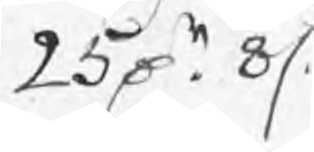25 Dr 8 /:
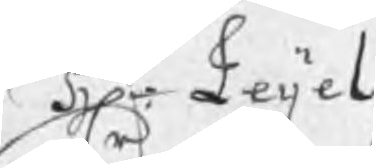Hr: Leijel
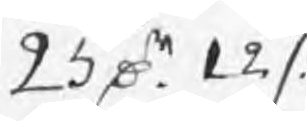25 Dr 12 /:
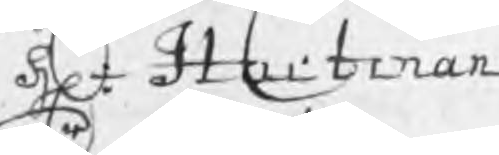Hr: Hartman
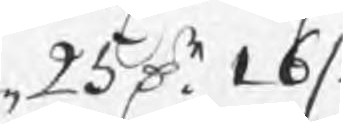25 Dr 16 /:
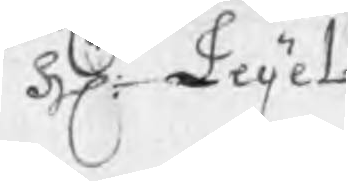Hr: Leijel
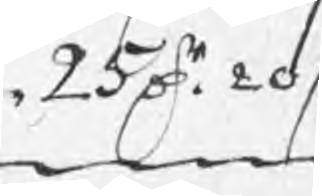25 Dr 20 /:
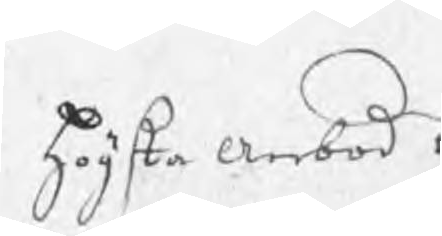högsta Anbod
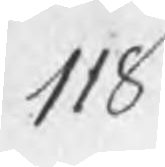118
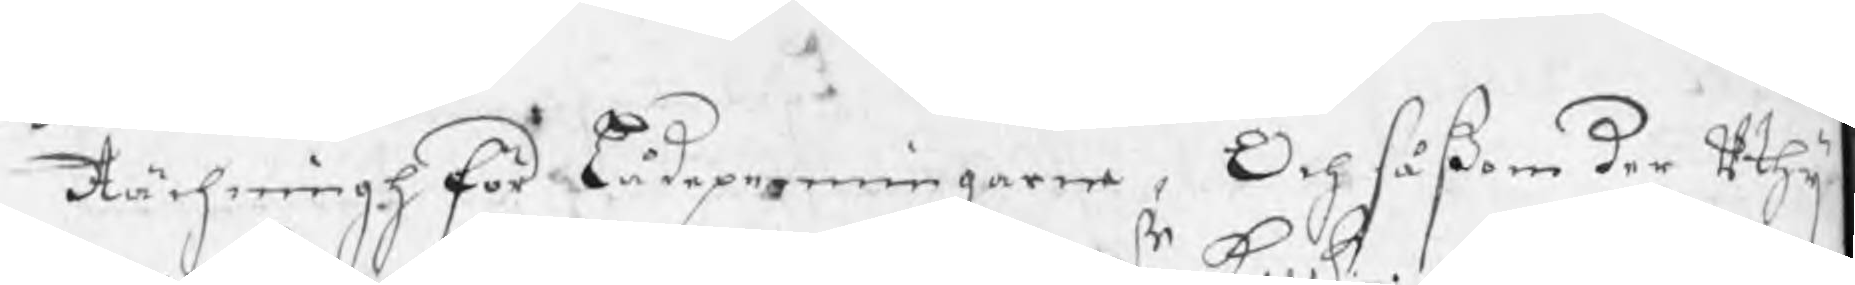Rächningh för Lådepenningarne, Och såßom der uthij
